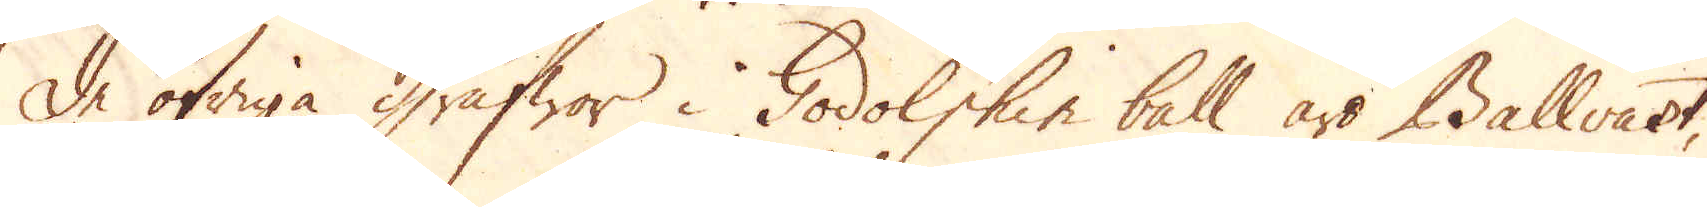De öfriga Grufwor i Godolphin ball äro Ballvart,
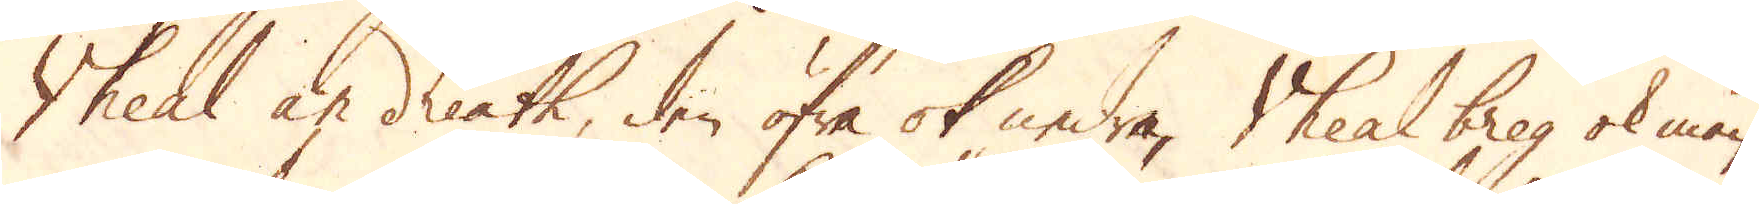Vheal an dreath, den öfra ok nedre, Vheal breg ok man-
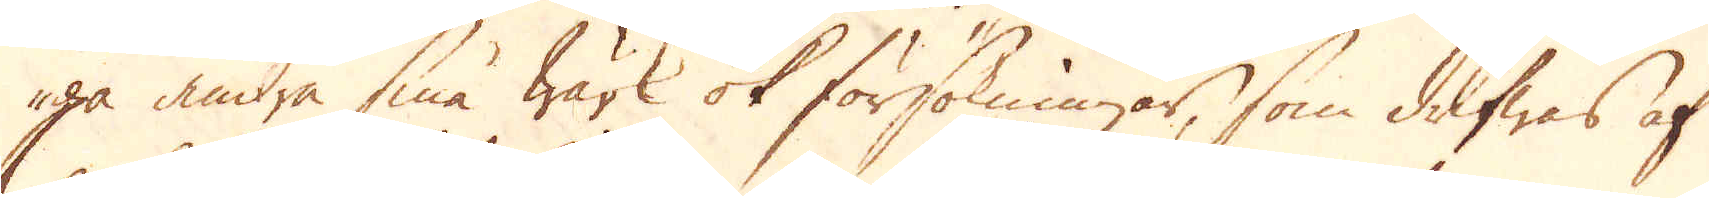ga andra små wärk ok försökningar, som drifwas af
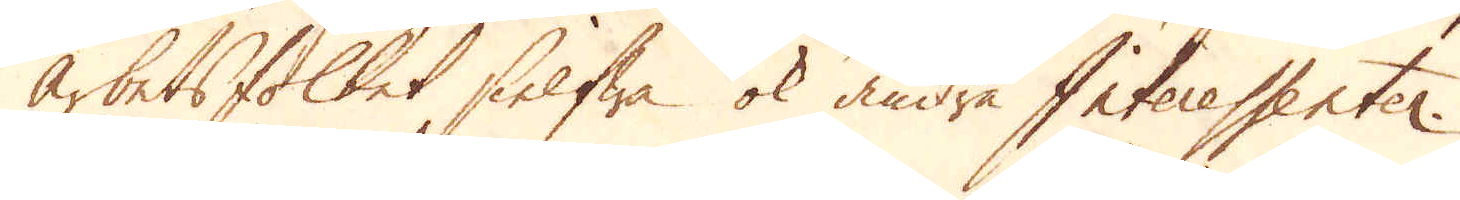arbetsfolket sielfwa ok andra Interessenter.
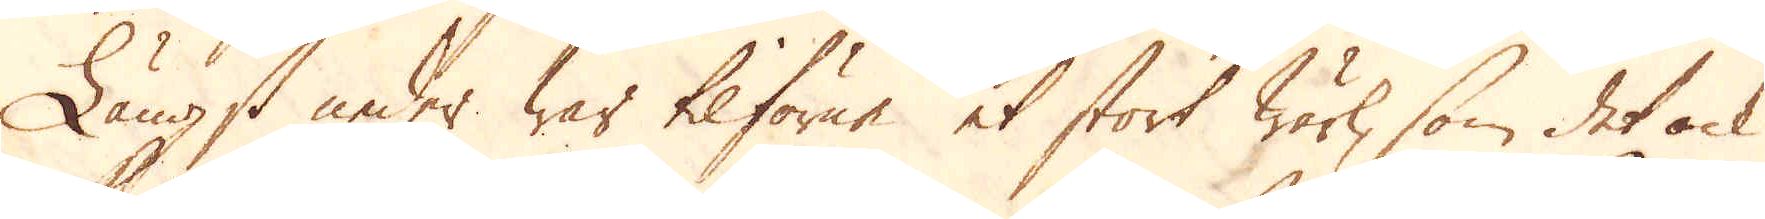Längst neder war tilförne et stort wärk, som det ock
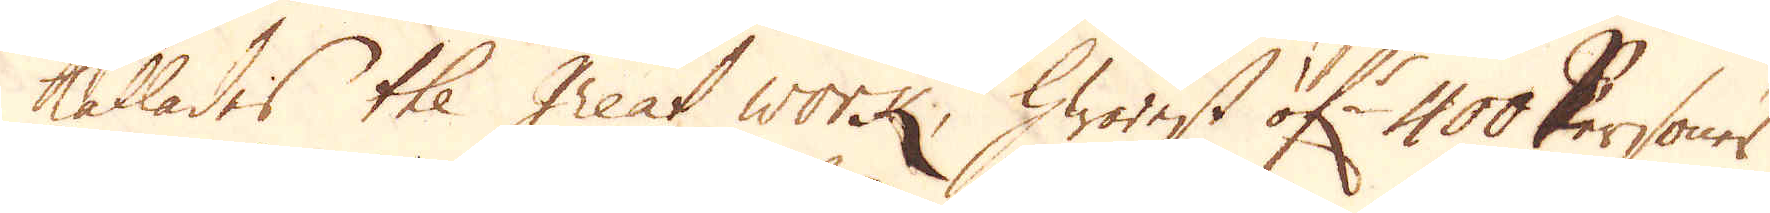kallades the Great work, hwarest öf:r 400 Personer
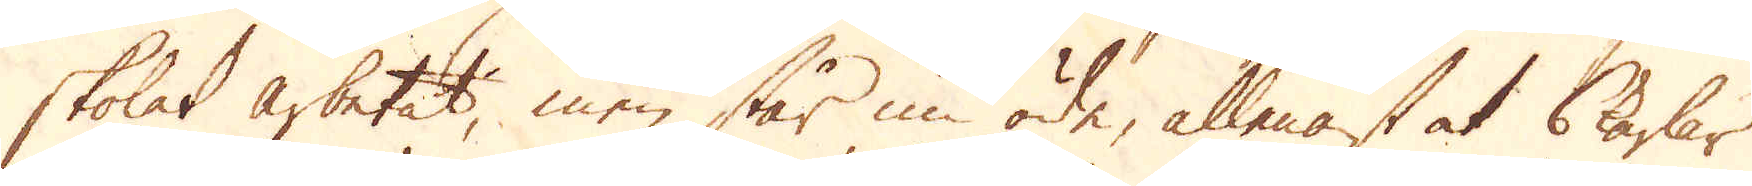skolat arbetat, men står nu öde, allenast at 6 karlar
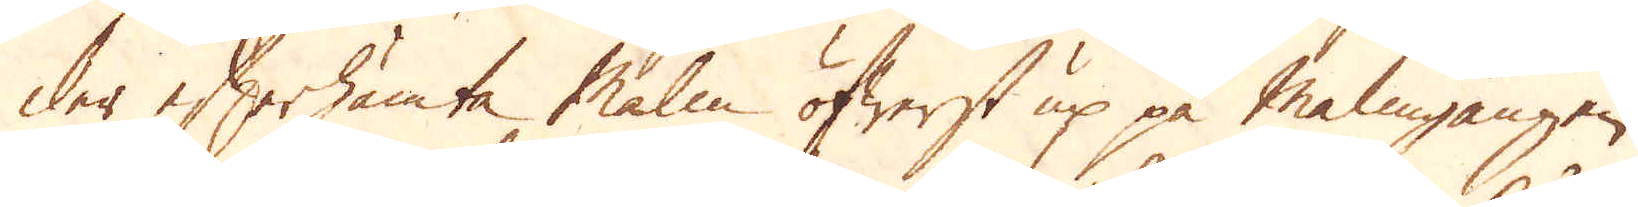der efterhämta Malm öfwerst up på Malmgången.
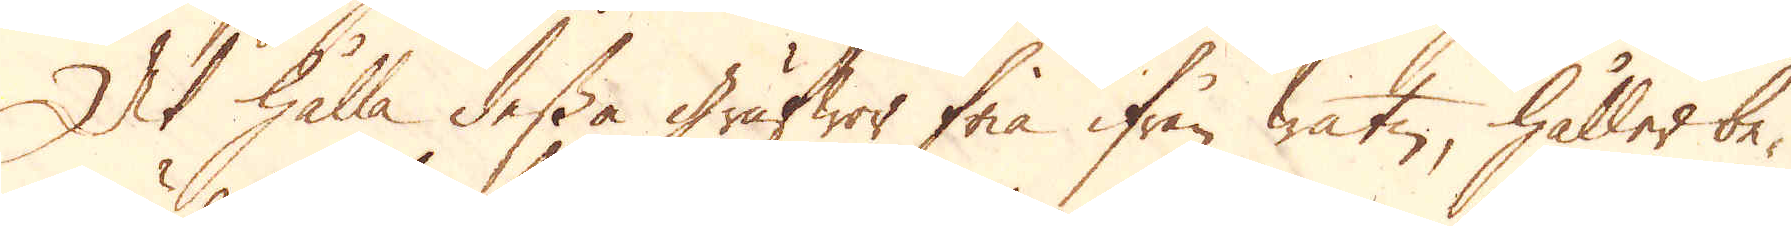At hålla dessa Grufwor fria ifrån watn, håller be-
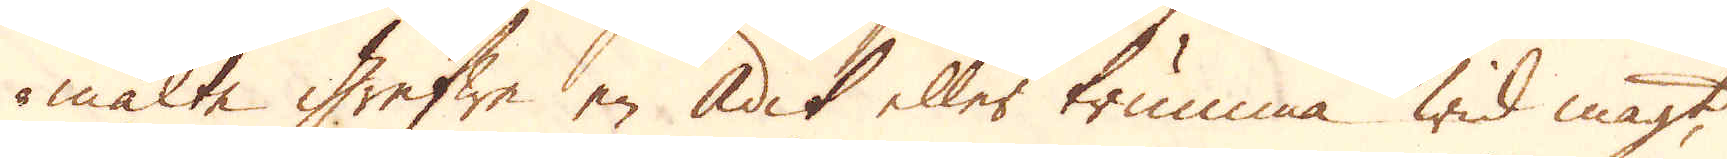mälte Grefwe en Adit eller trumma wid magt
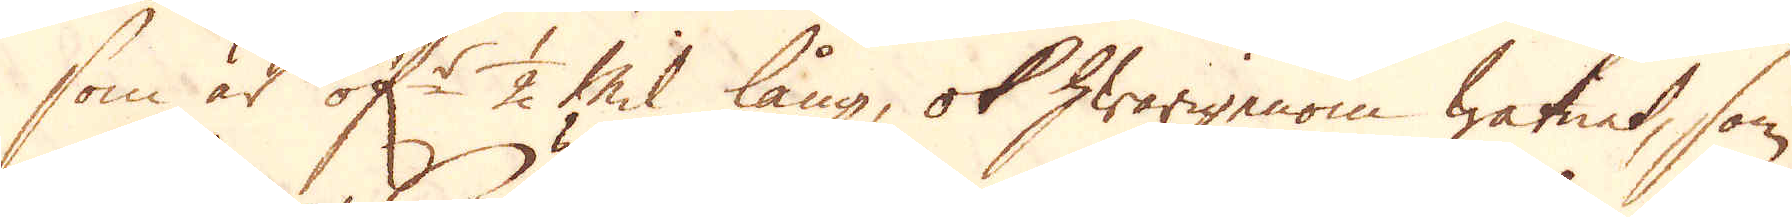som är öf:r 1/2 Mil lång, ok hwarigenom watnet, som
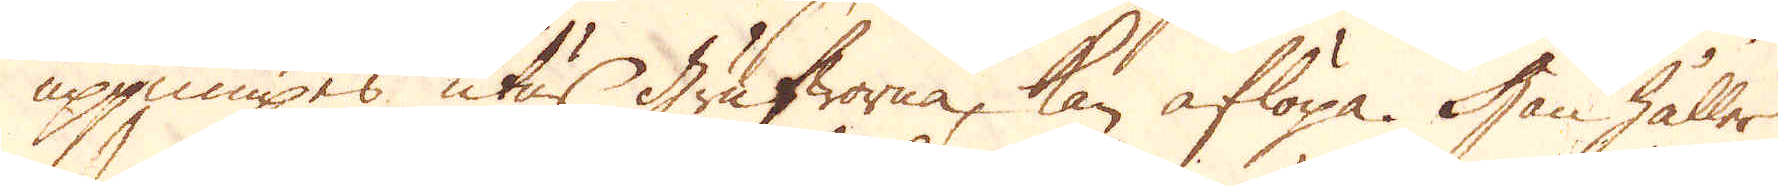uppumpes, utur Grufworna, kan aflöpa. Han håller
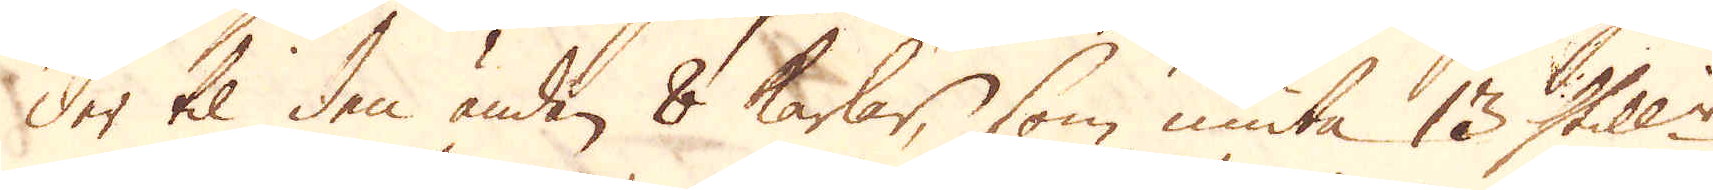der til den änden 8 karlar, som niuta 13 Skill:r
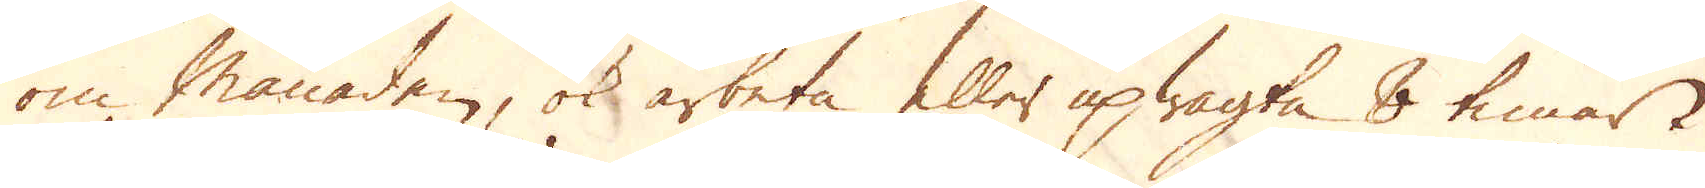om månaden, ok arbeta eller upwagta 8 timar i
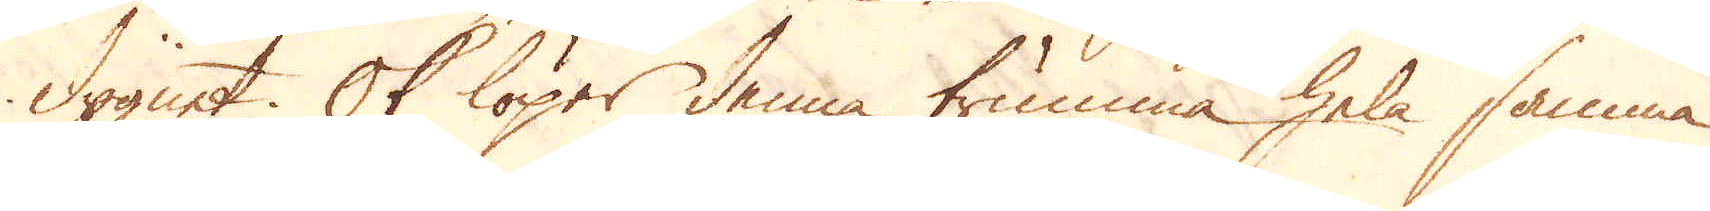dygnet. Ok löper denna trumma hela samma
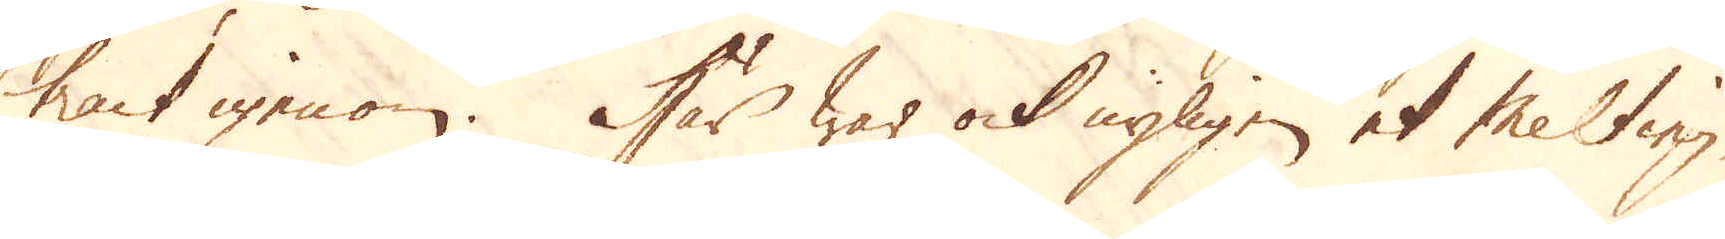tract igenom. Här war ock nyligen et Melting.
